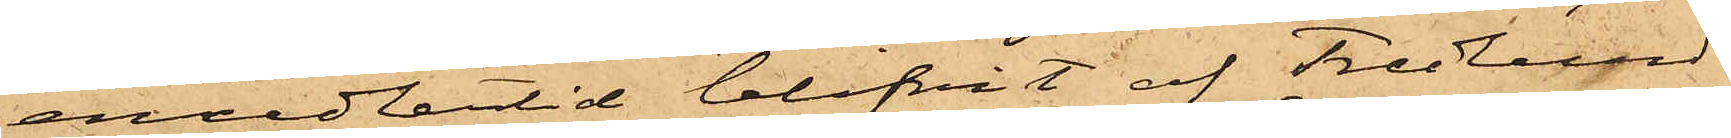emedlertid blifvit af Fredlund
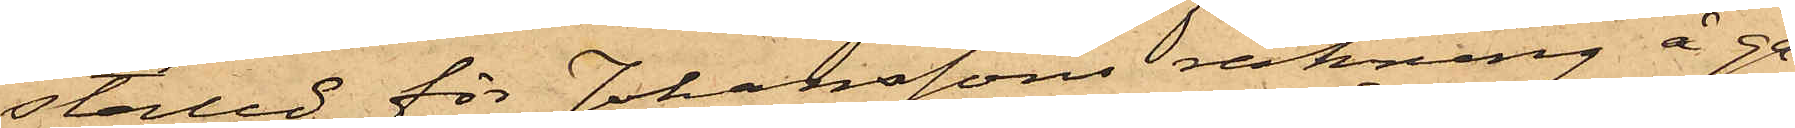ställd för Johanssons räkning å ga¬
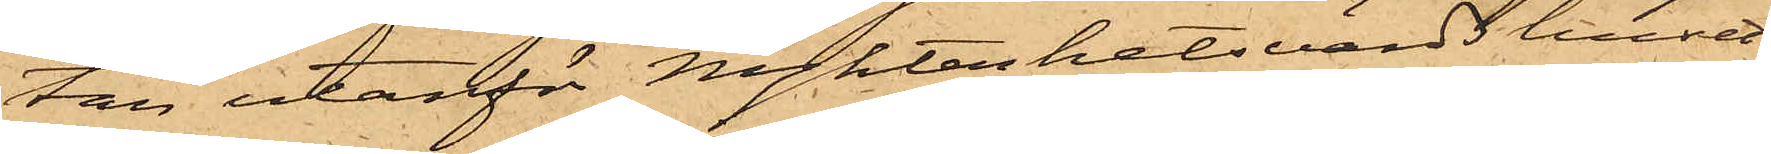tan utanför Nykterhetsvärdshuset,
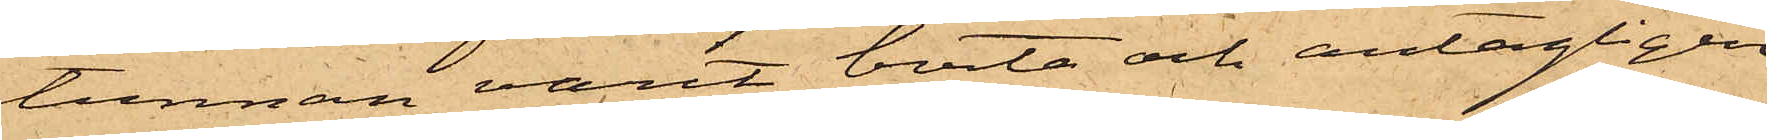tunnan varit borta och antagligen
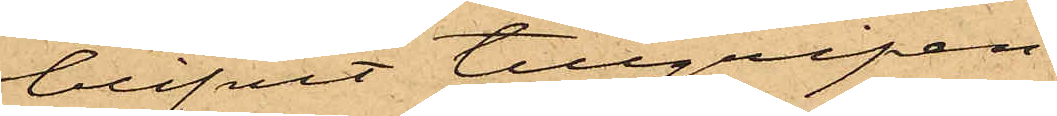blifvit tillgripen.
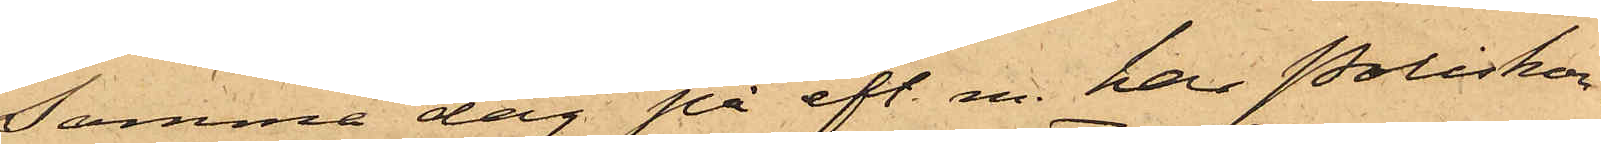Samma dag på eft. m. har Poliskon¬
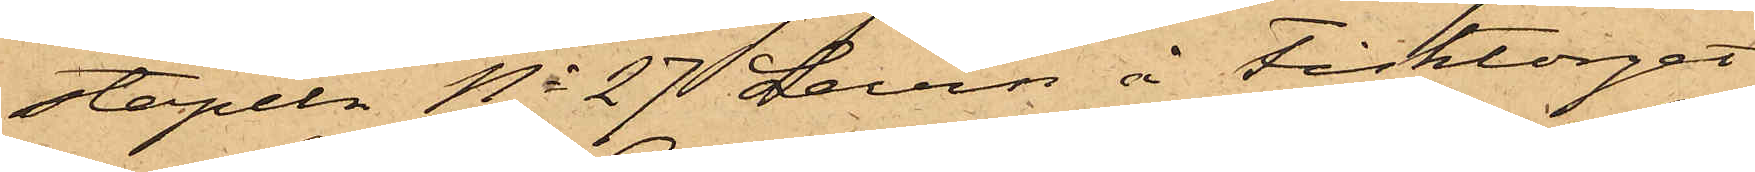stapeln No 27 Levin å Fisktorget
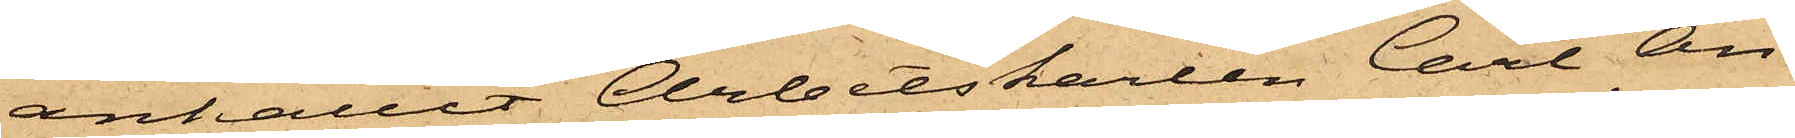anhållit Arbetskarlen Carl An¬
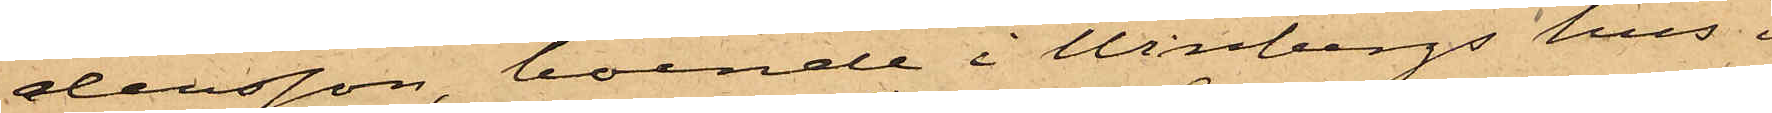dersson, boende i Winbergs hus i
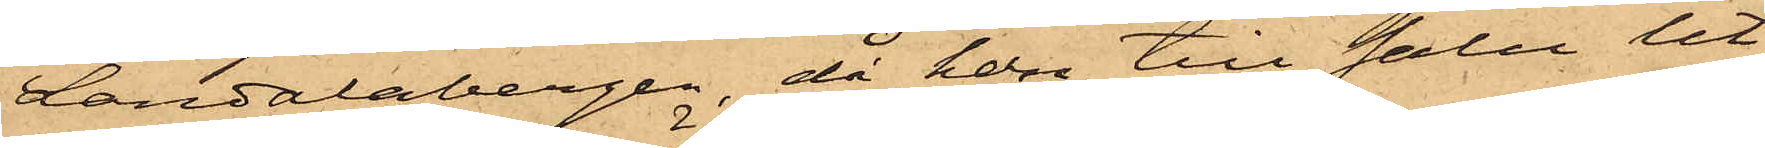Landalabergen, då han till salu ut¬
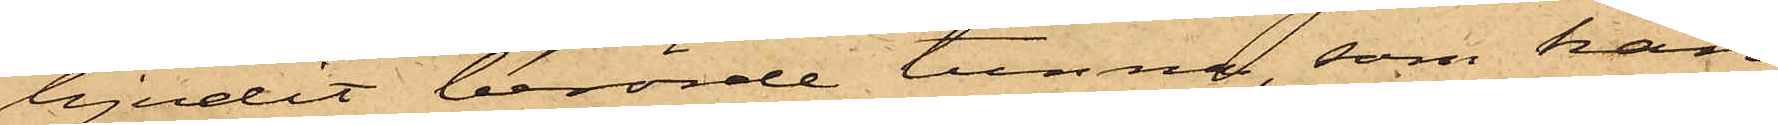bjudit berörde tunna, som han
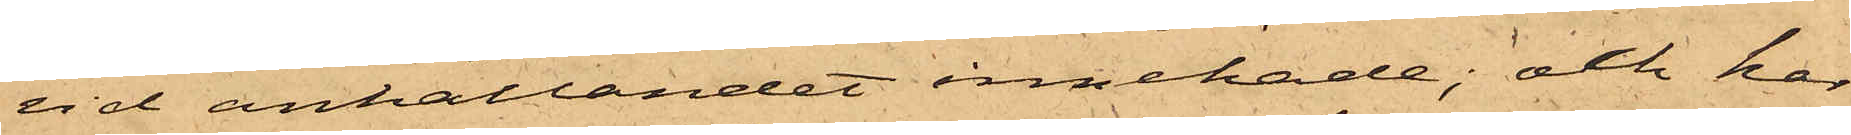vid anhållandet innehade; och har
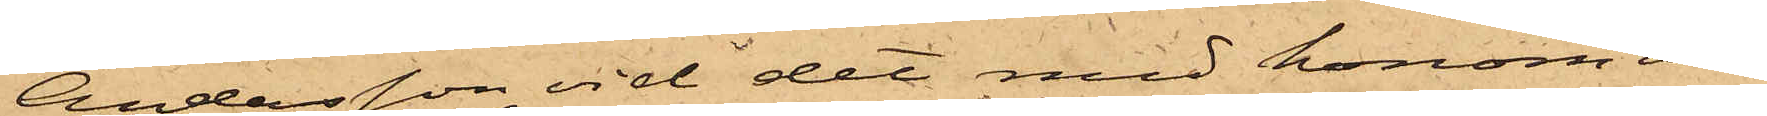Andersson vid det med honom an¬
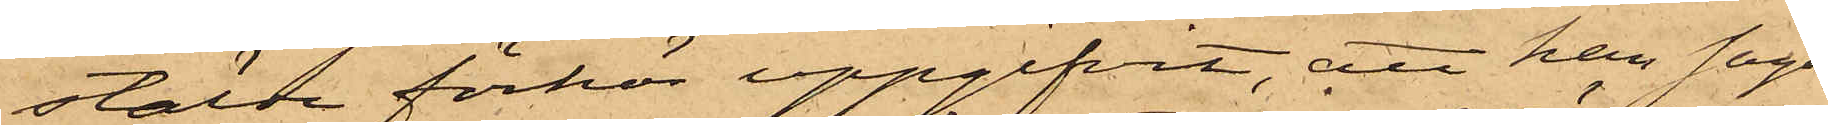stälde förhör uppgifvit, att han sagde
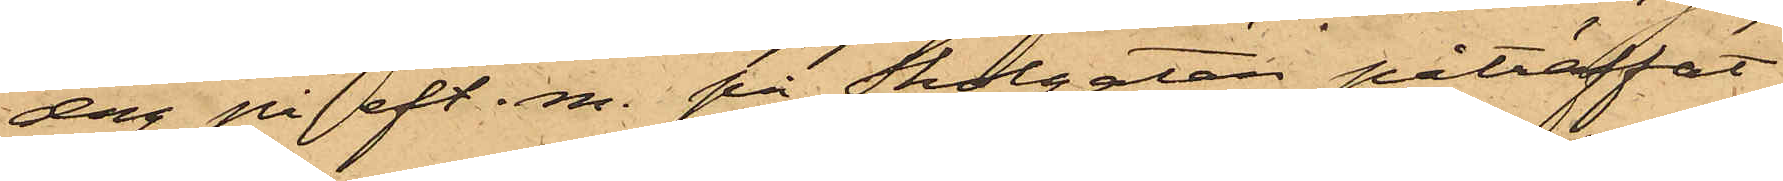dag på eft. m. på Skolgatan påträffat
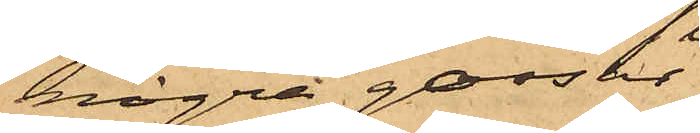några gossar
